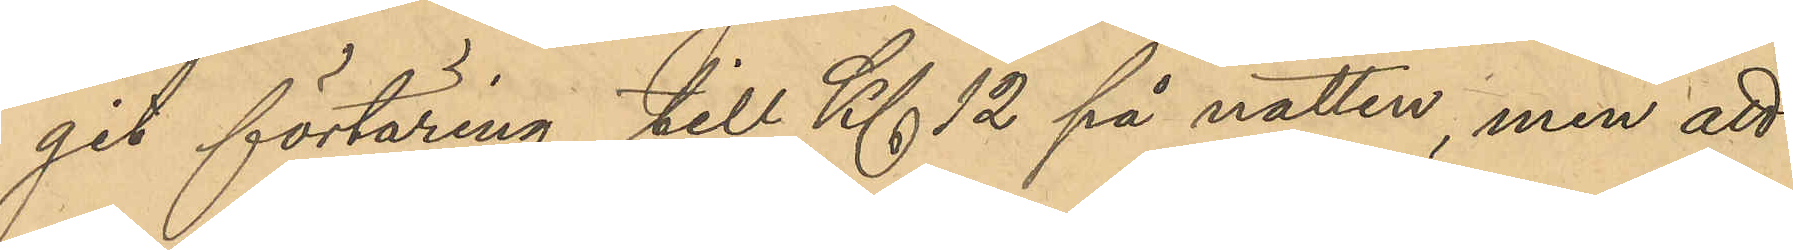git förtäring till Kl 12 på natten, men att
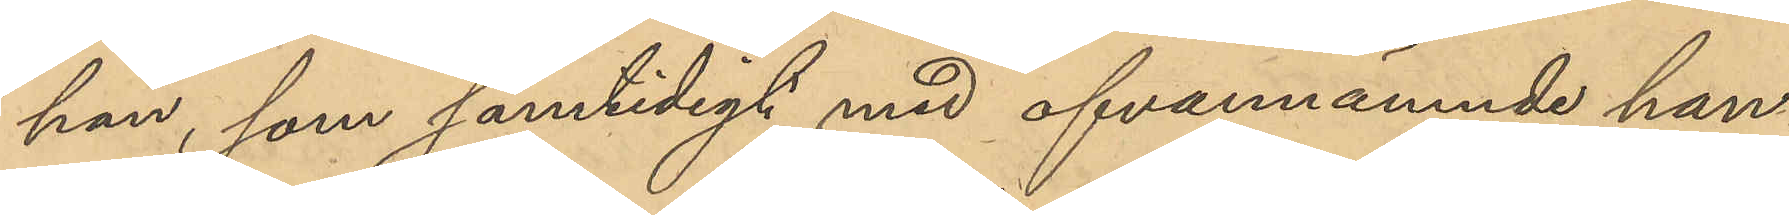han, som samtidigt med ofvannämnde han¬
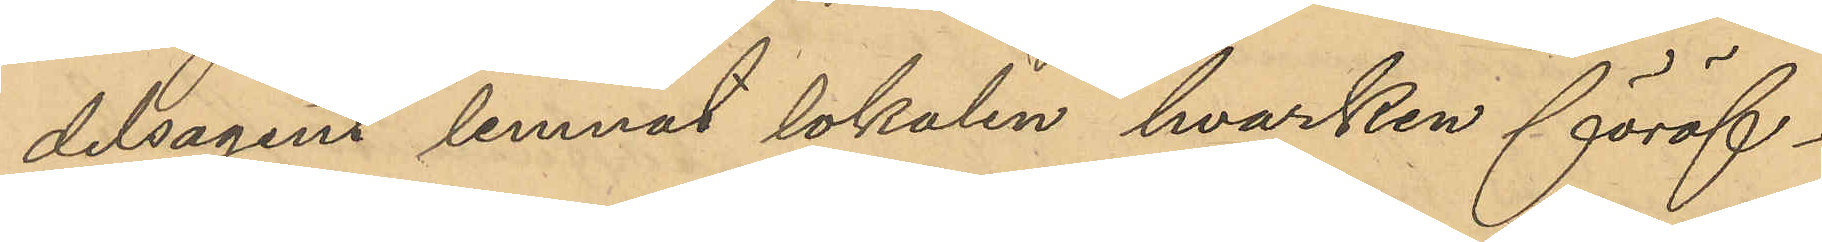delsagent lemnat lokalen hvarken föröf¬
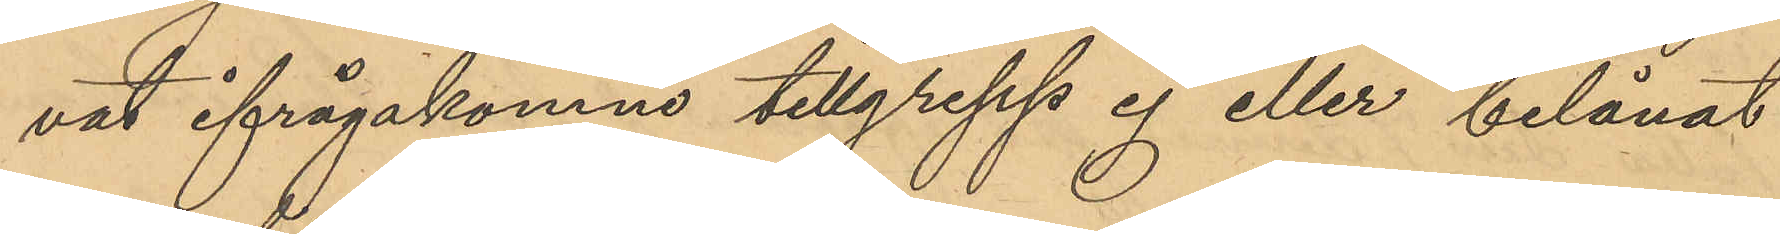vat ifrågakomne tillgrepp ej eller belånat
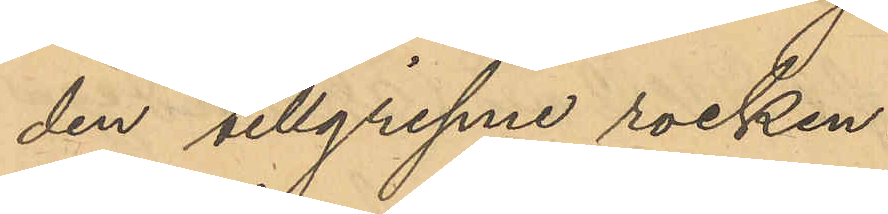den tillgripne rocken.
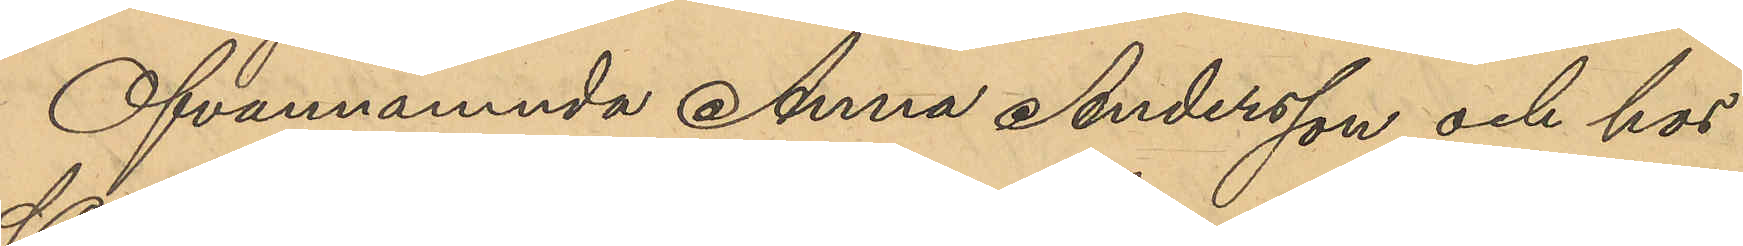Ofvannämnda Anna Andersson och hos
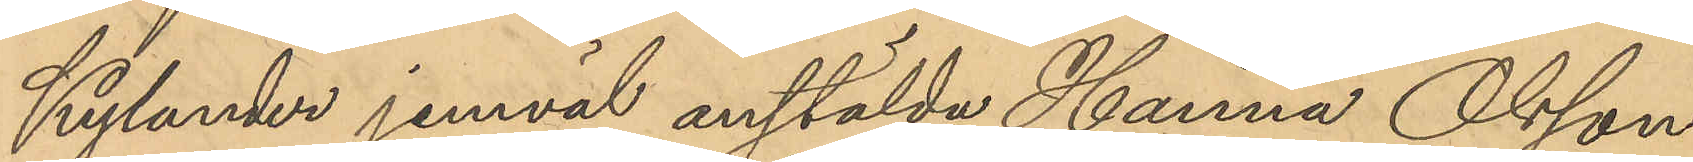Kylander jemväl anstälda Hanna Olsson
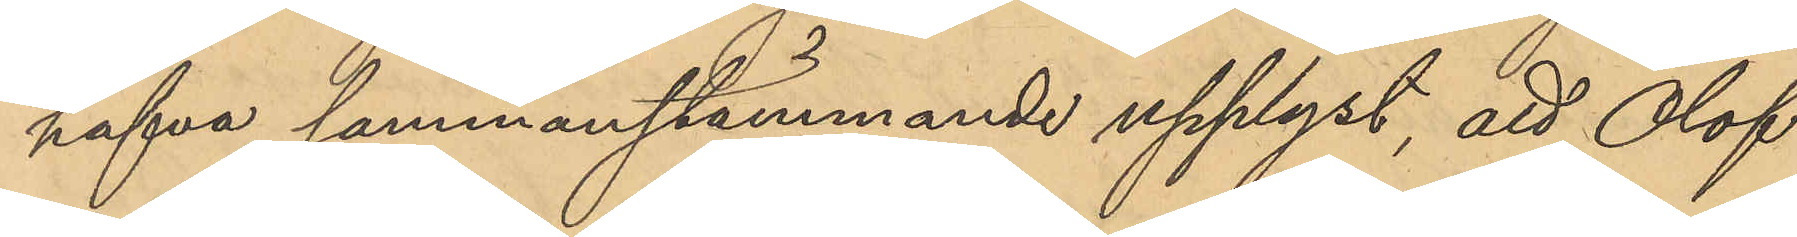hafva sammanstämmande upplyst, att Olof
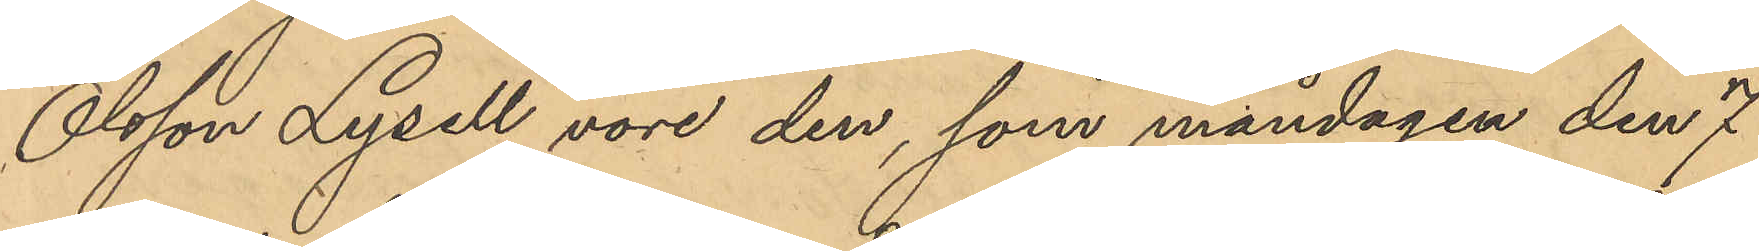Olsson Lysell vore den, som måndagen den 7
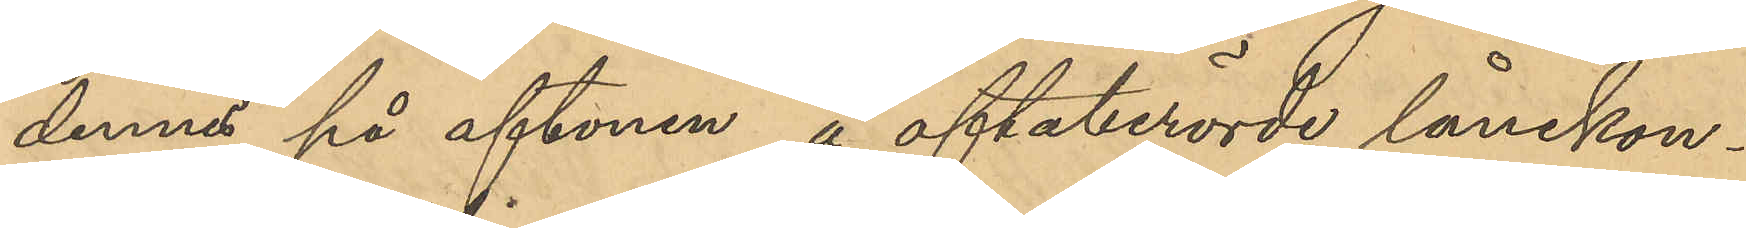dennes på aftonen å oftaberörde lånekon¬
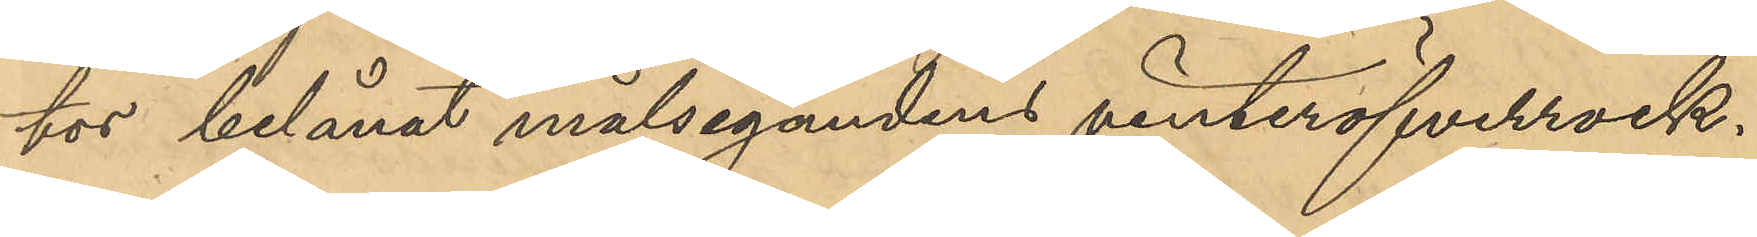tor belånat målsegandens vinteröfverrock.
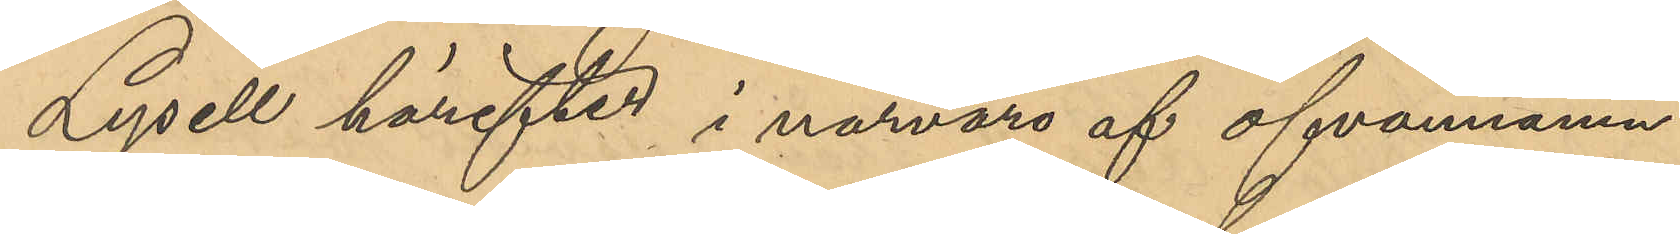Lysell härefter i närvaro af ofvannämn¬
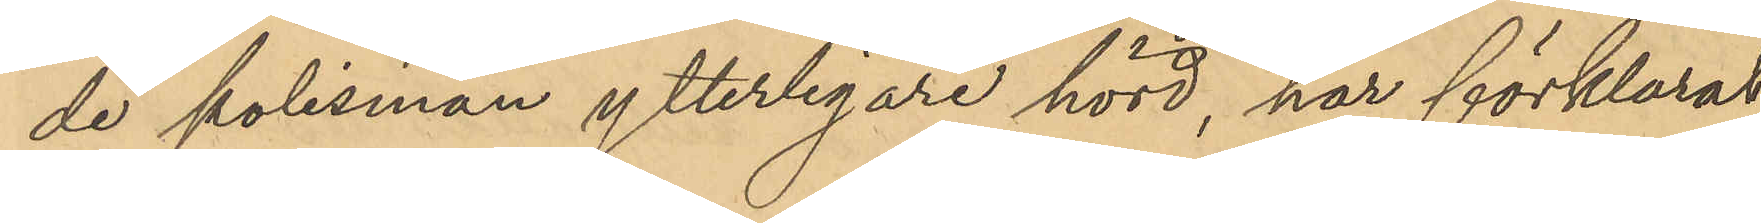de polismän ytterligare hörd, har förklarat
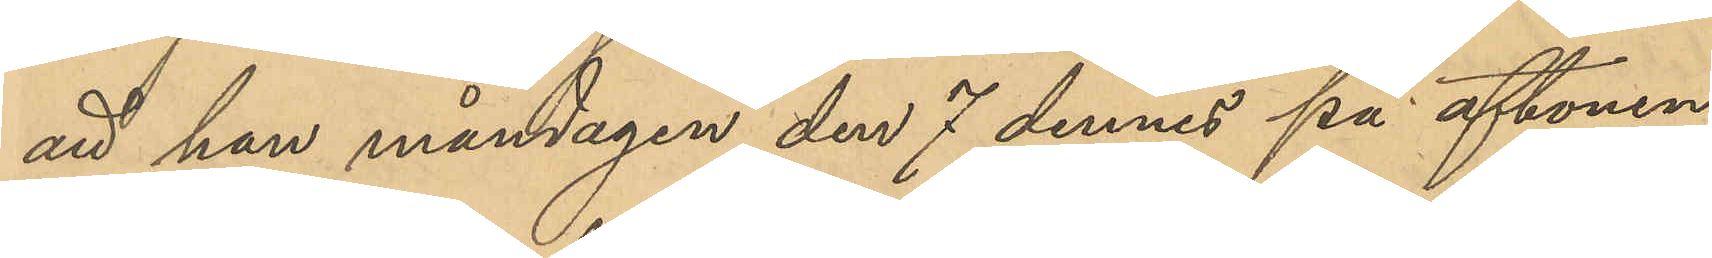att han måndagen den 7 dennes på aftonen
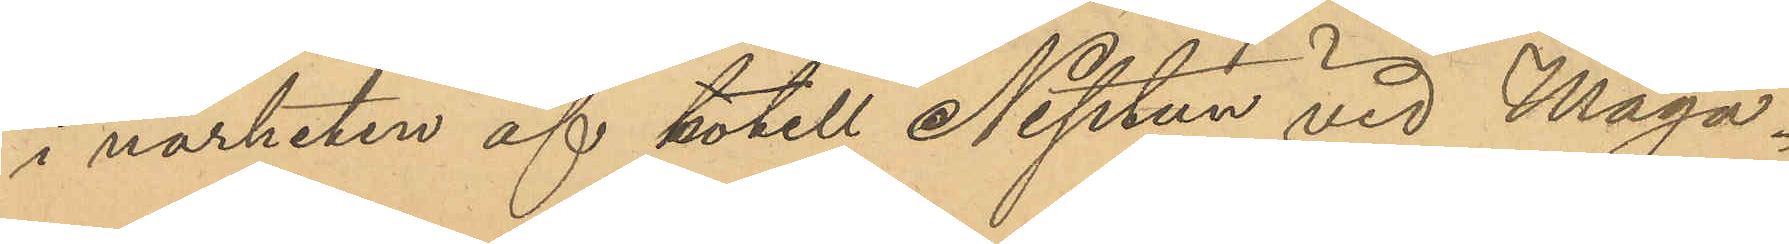i närheten af hotell Neptun vid Maga¬
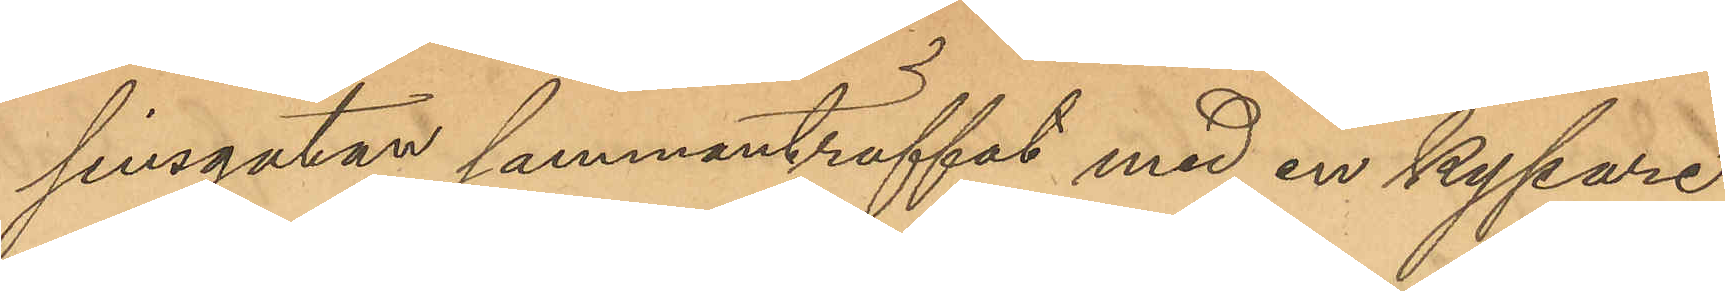sinsgatan sammanträffat med en kypare,
